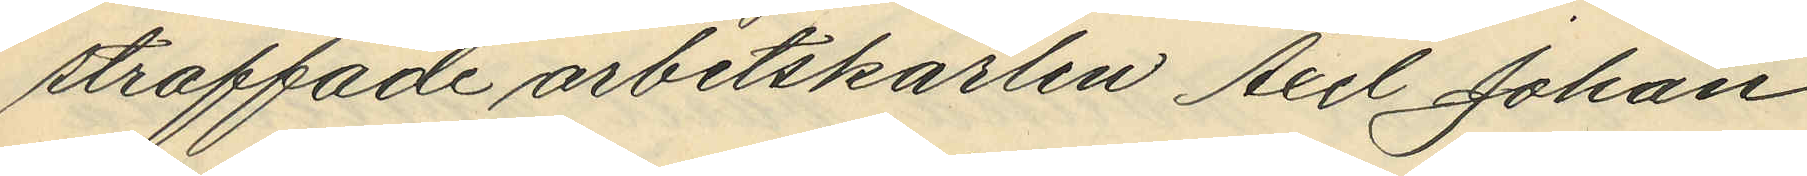straffade arbetskarlen Axel Johan
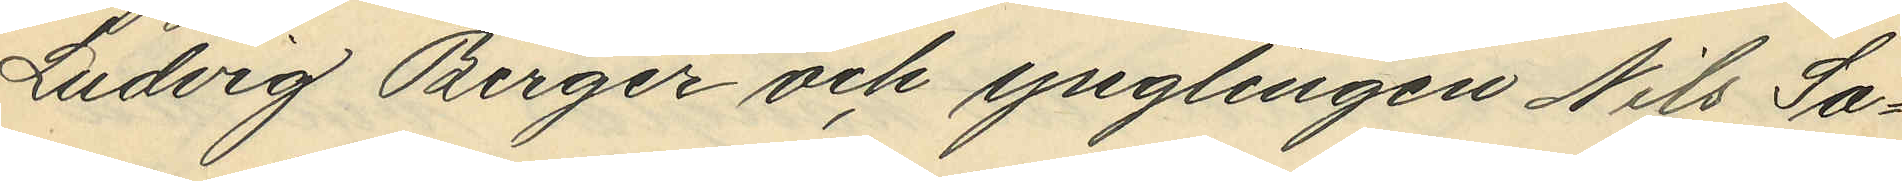Ludvig Berger och ynglingen Nils Sa¬
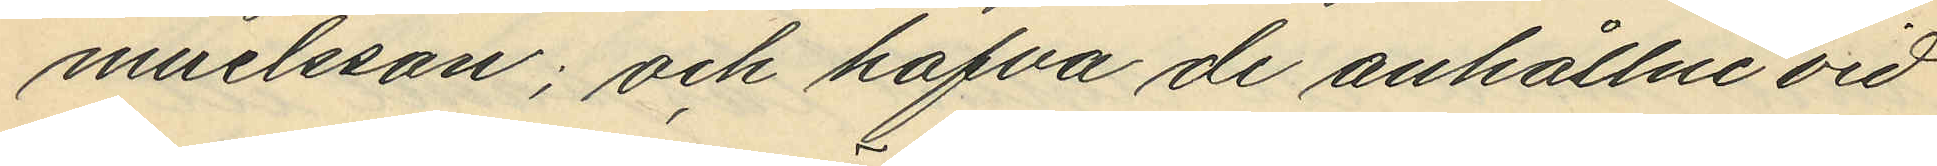muelsson; och hafva de anhållne vid
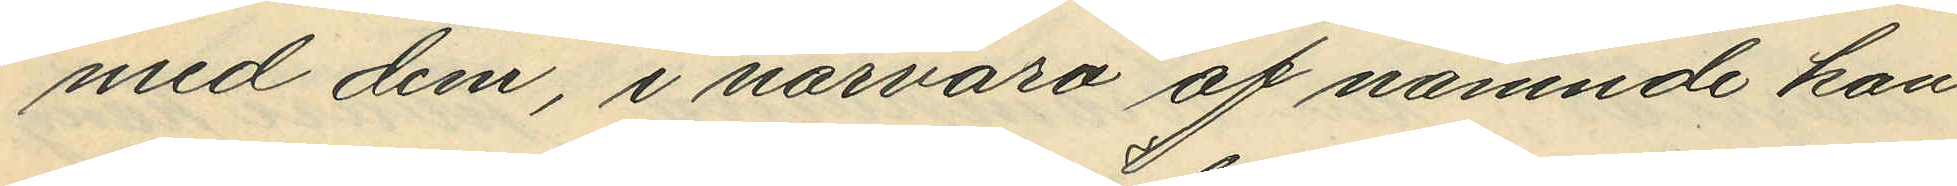med dem, i närvaro af nämnde kon¬
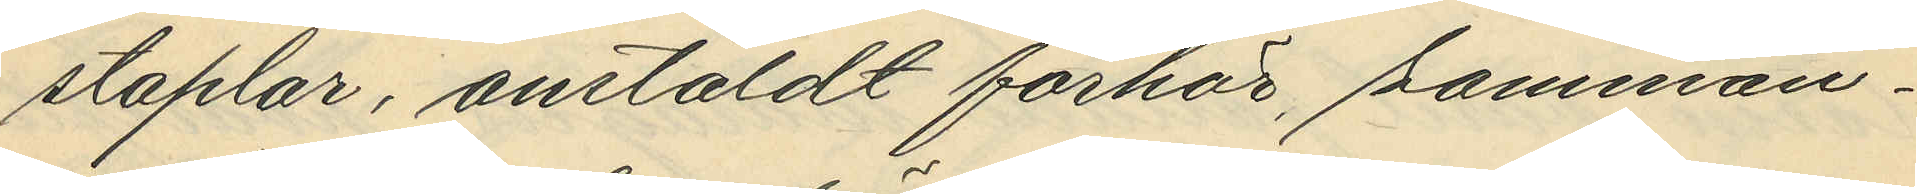staplar, anstäldt förhör, samman¬
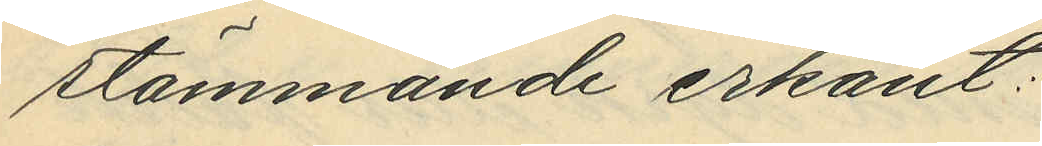stämmande erkänt:
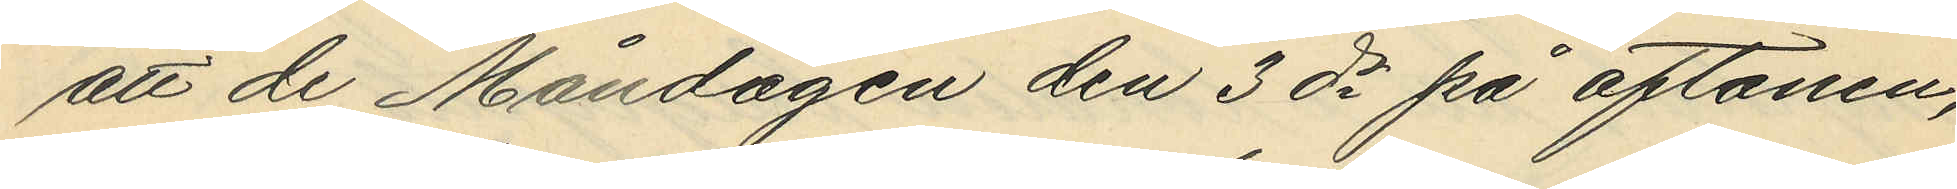att de Måndagen den 3de på aftonen,
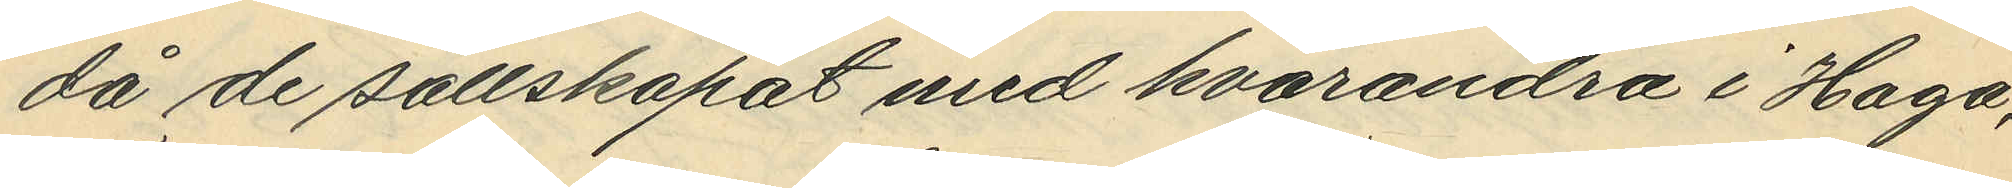då de sällskapat med hvarandra i Haga,
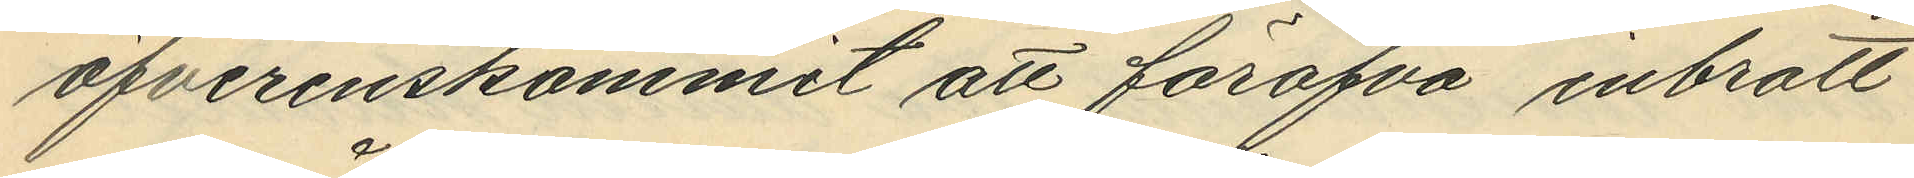öfverenskommit att föröfva inbrott
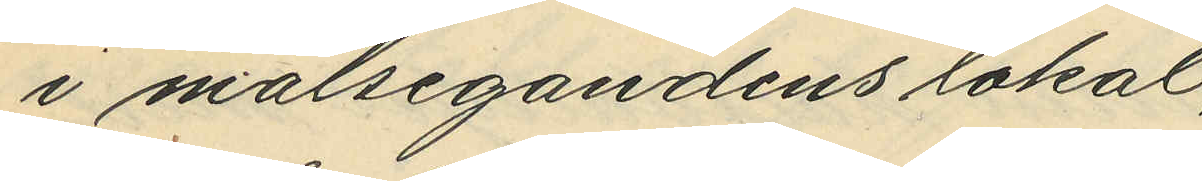i målsegandens lokal,
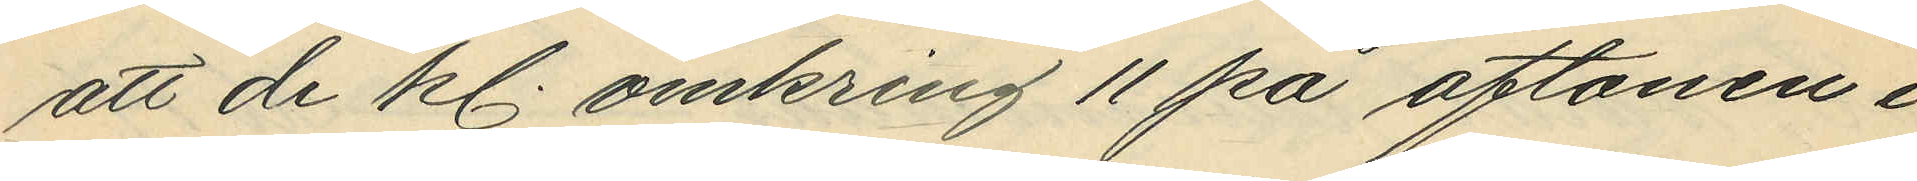att de kl. omkring 11 på aftonen i
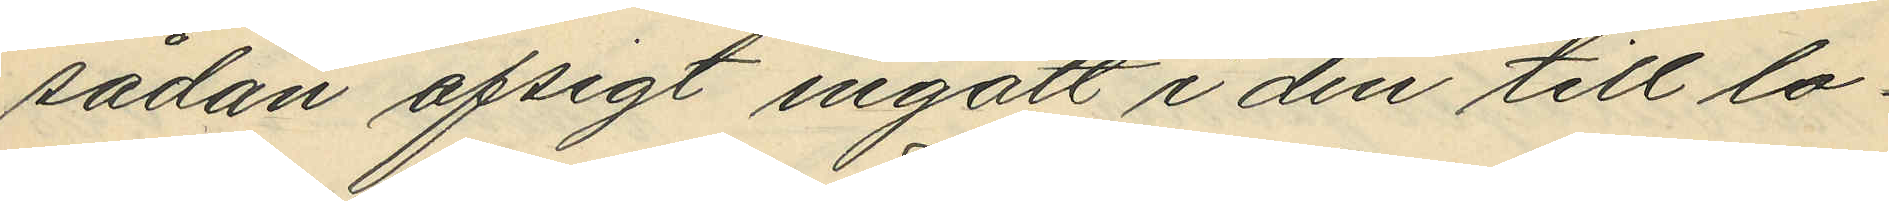sådan afsigt ingått i den till lo¬
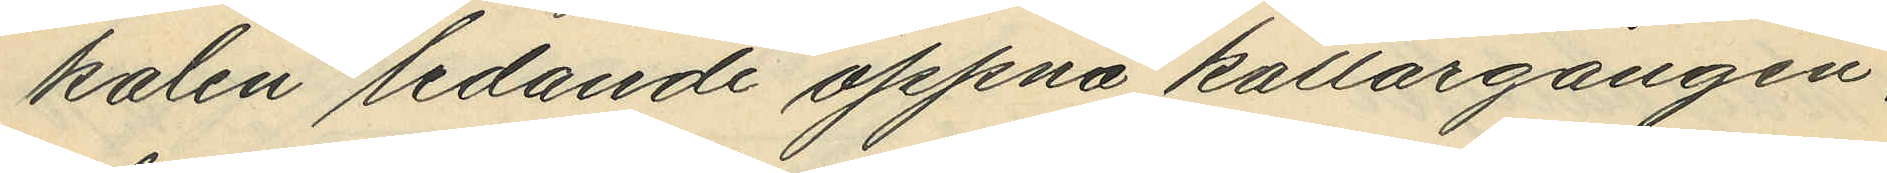kalen ledande öppna källargången,
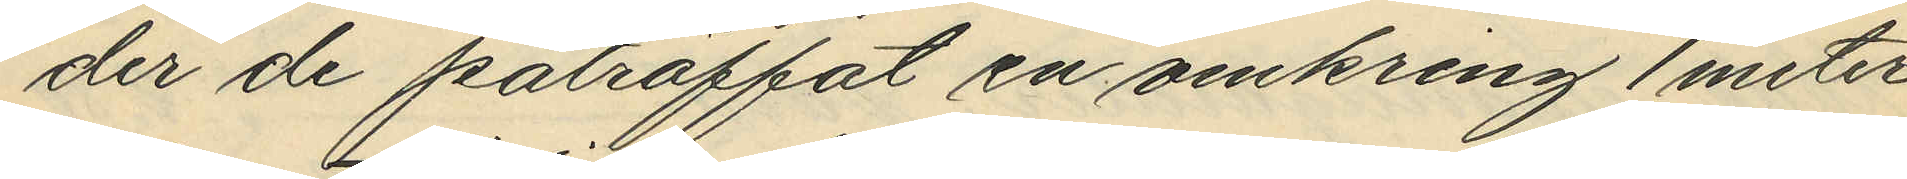der de påträffat en omkring 1 meter
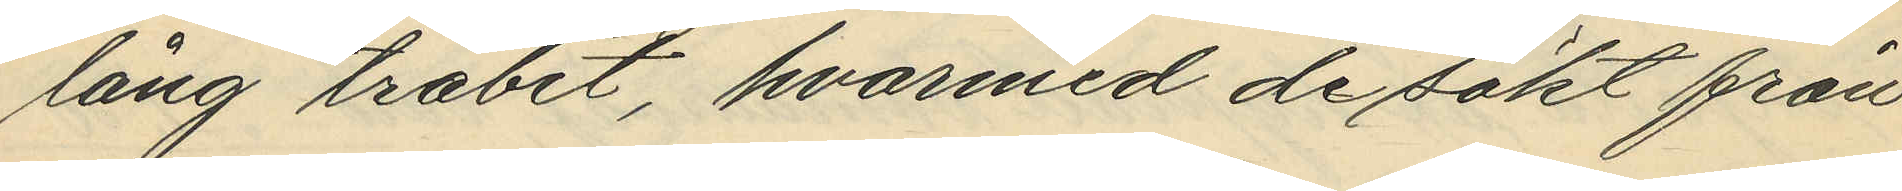lång träbit, hvarmed de sökt från
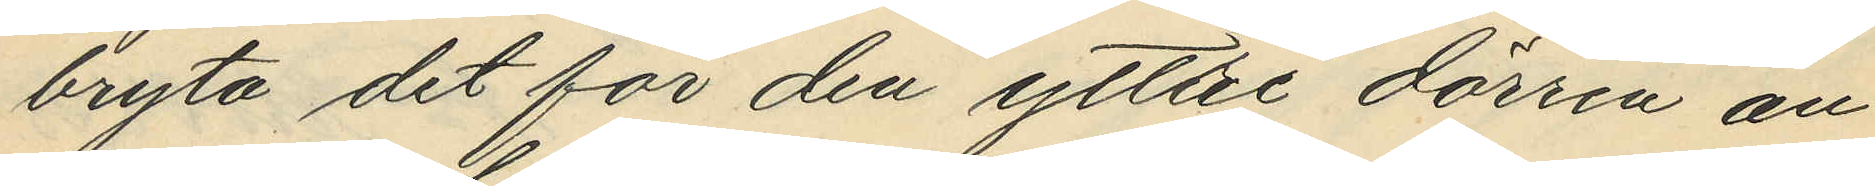bryta det för den yttre dörren an¬
